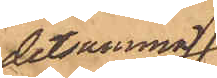detsamma;
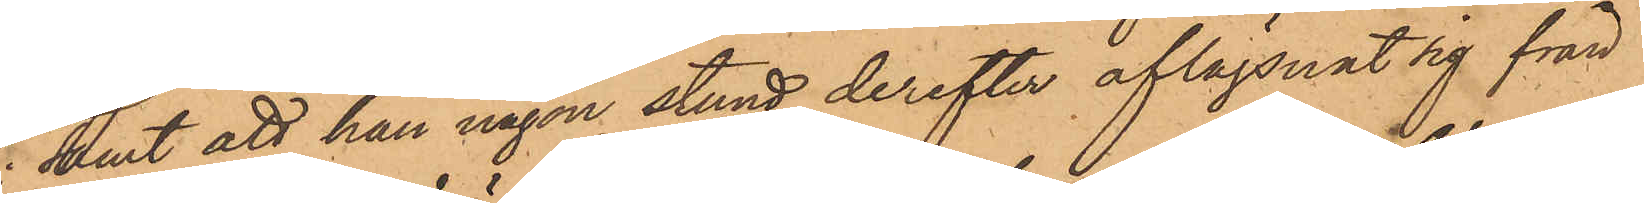samt att han någon stund derefter aflägsnat sig från
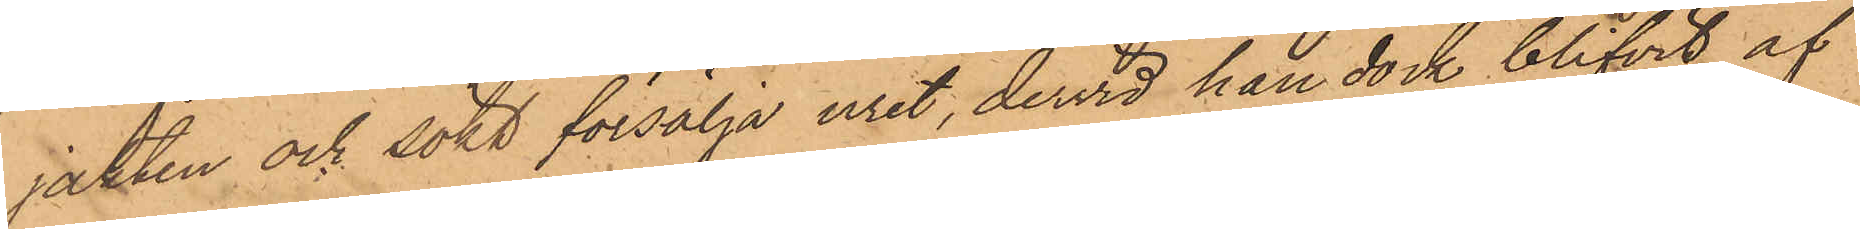jakten och sökt försälja uret, dervid han dock blifvit af
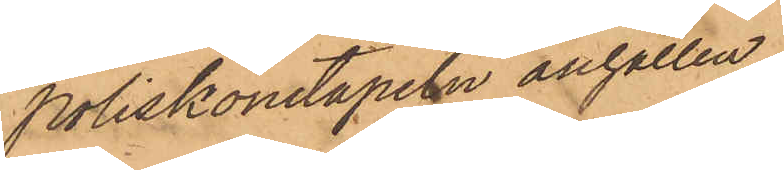Poliskonstapeln anhållen.
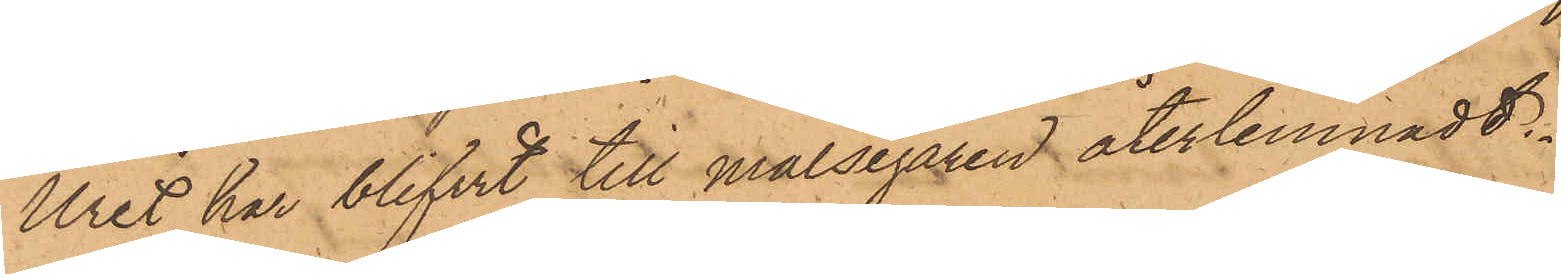Uret har blifvit till målsegaren återlemnadt.
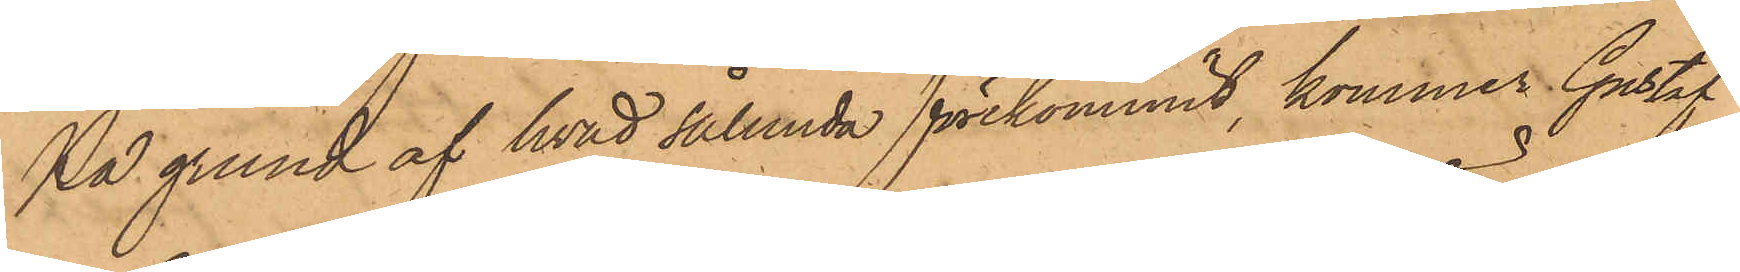På grund af hvad sålunda förekommit, kommer Gustaf
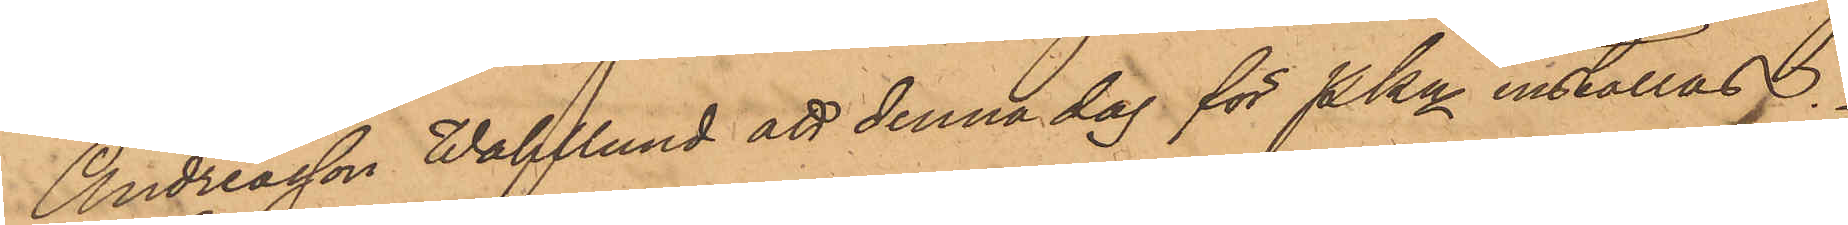Andreasson Wahlund att denna dag för Pkn inställas.
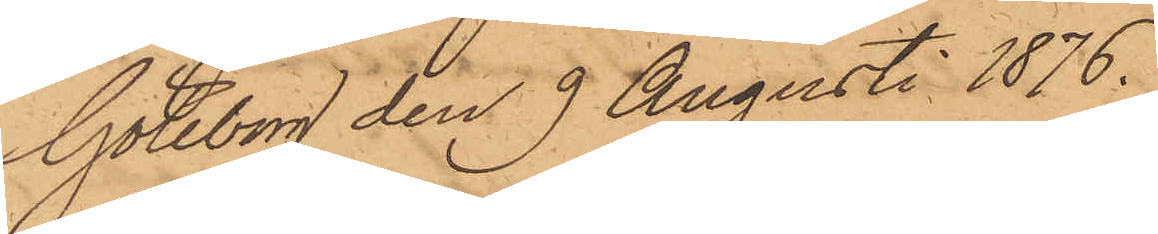Göteborg den 9 Augusti 1876.
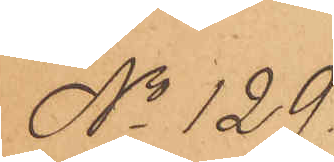No 129.
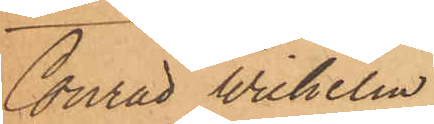Conrad Wilhelm
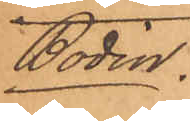Bodin.
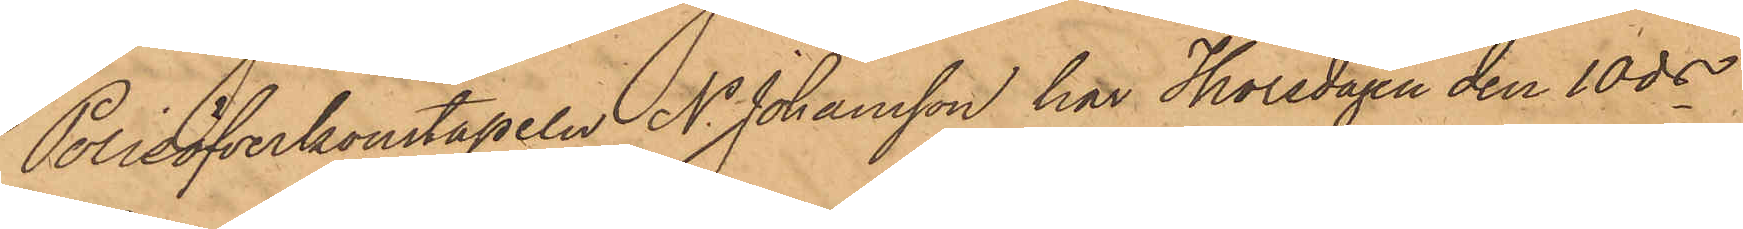Polisöfverkonstapeln N. Johansson har Thorsdagen den 10 ds
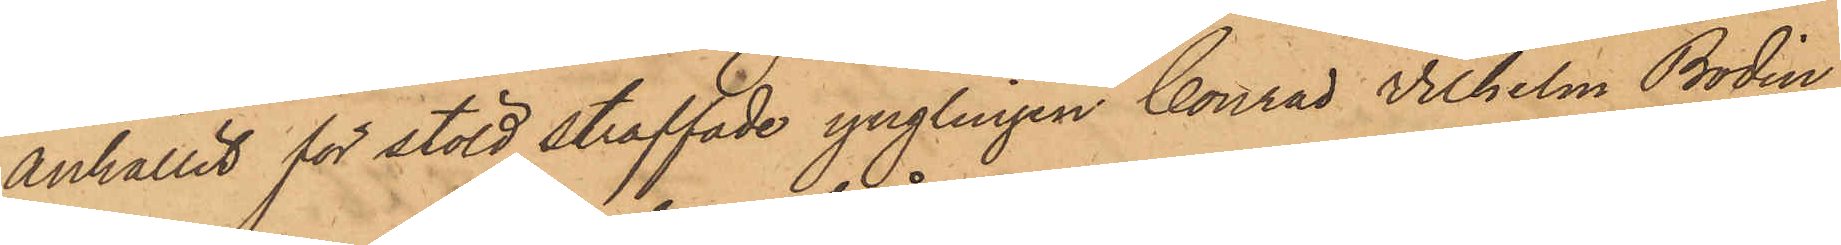anhållit för stöld straffade ynglingen Conrad Wilhelm Bodin
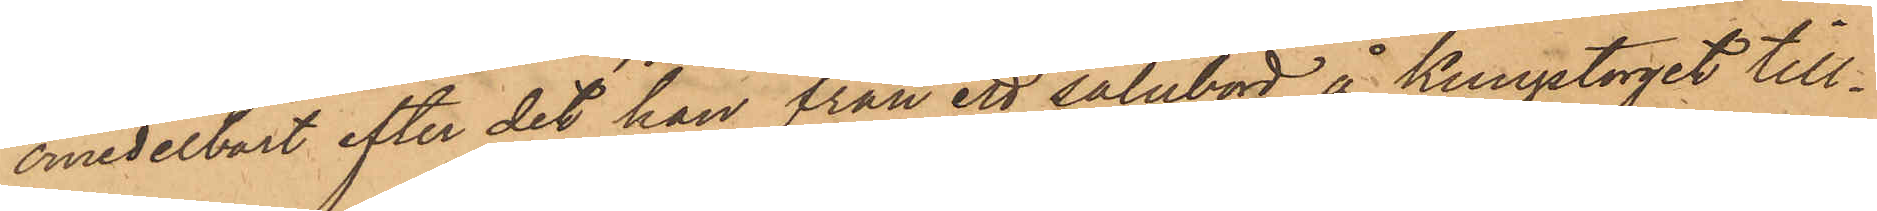omedelbart efter det han från ett salubord å Kungstorget till¬
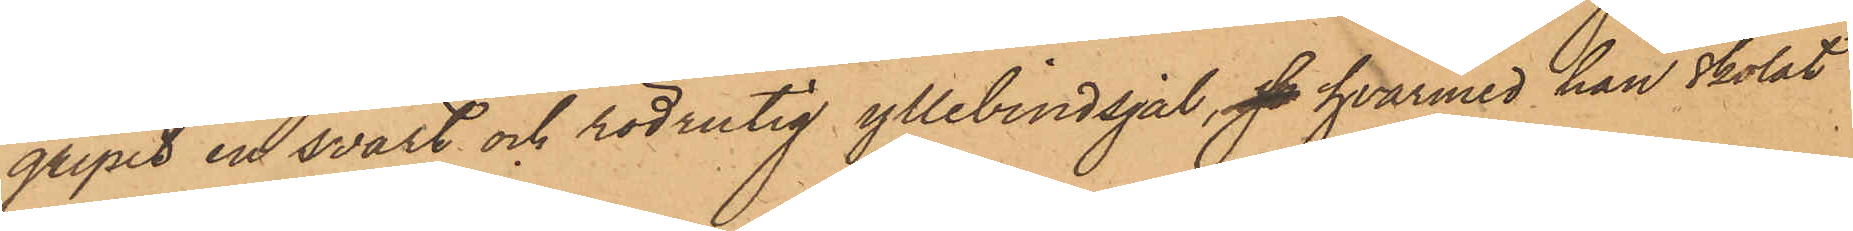gripit en svart och rödrutig yllebindsjal,  hvarmed han skolat
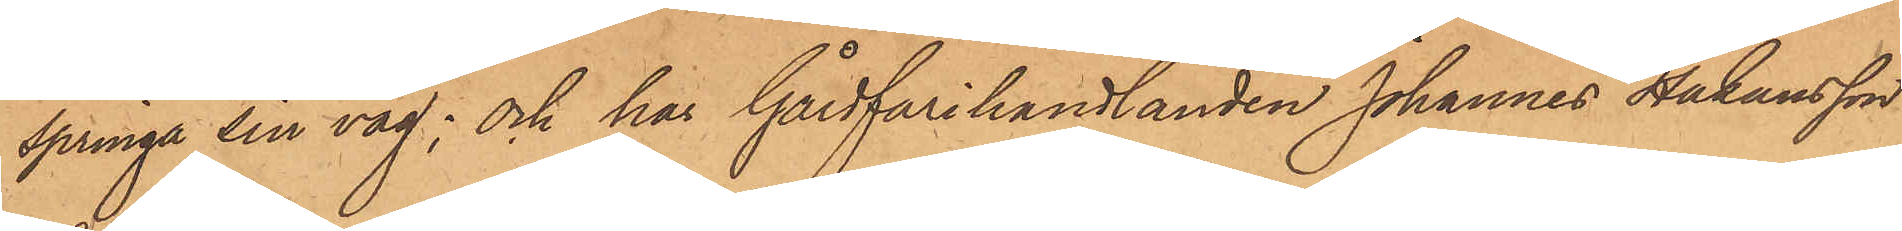springa sin väg; och har Gårdfarihandlanden Johannes Håkansson
